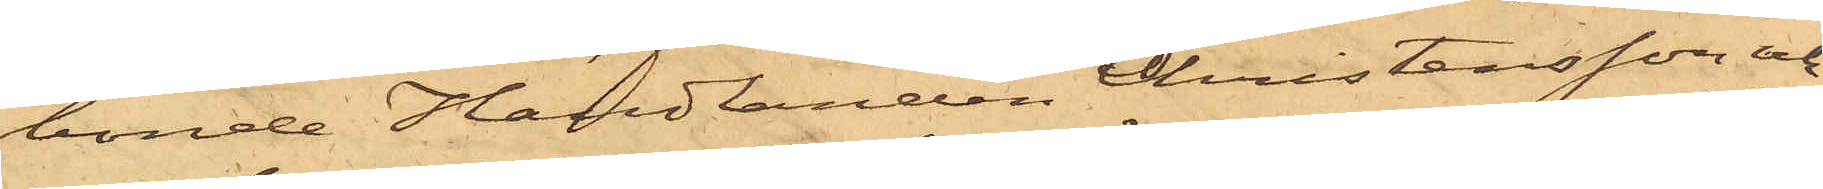bonde Handlanden Christensson och
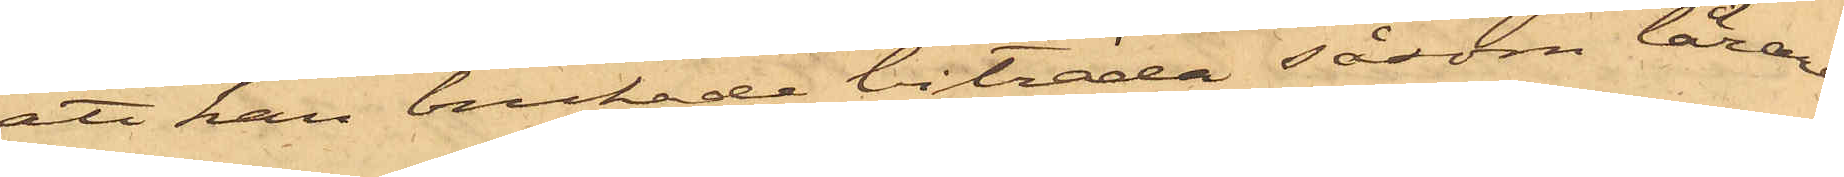att han brukade biträda såsom lärare
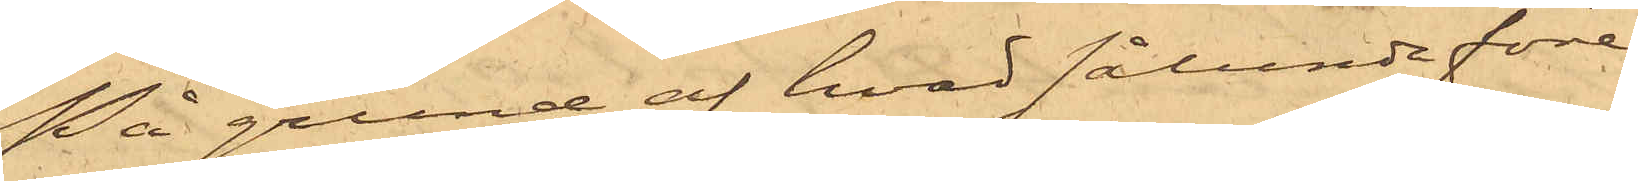På grund af hvad sålunda före¬
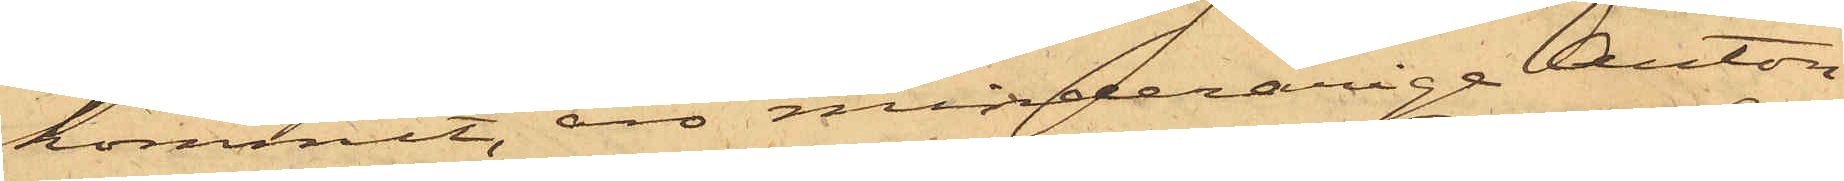kommit, äro minderåriga Anton
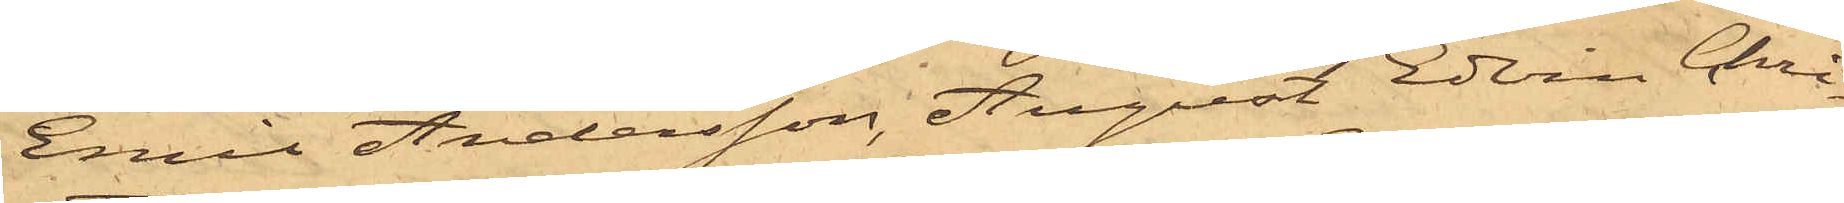Emil Andersson, August Edvin Chri¬
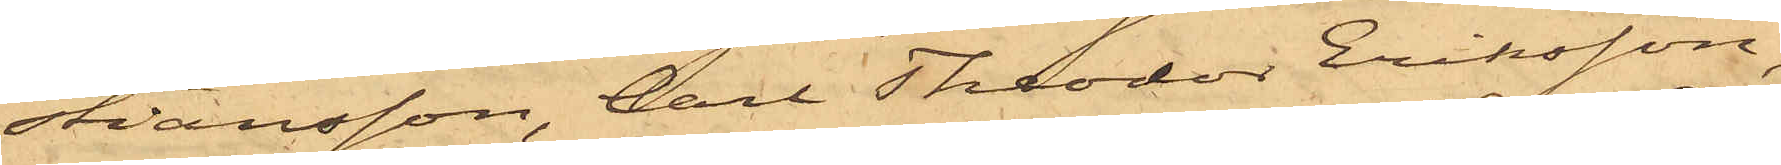stiansson, Carl Theodor Eriksson,
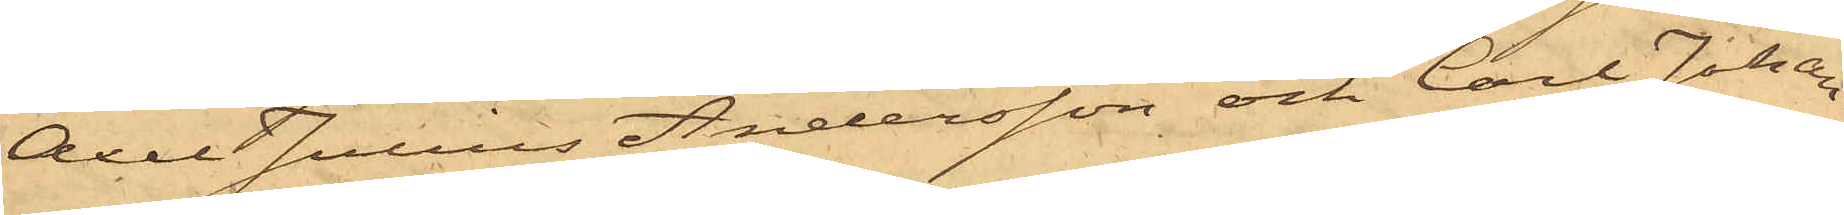Axel Julius Andersson och Carl Johan
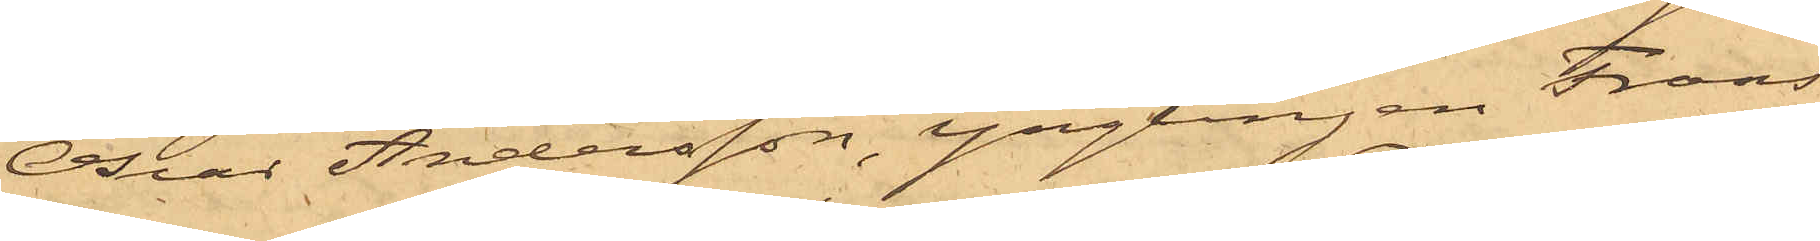Oscar Andersson, Ynglingen Frans
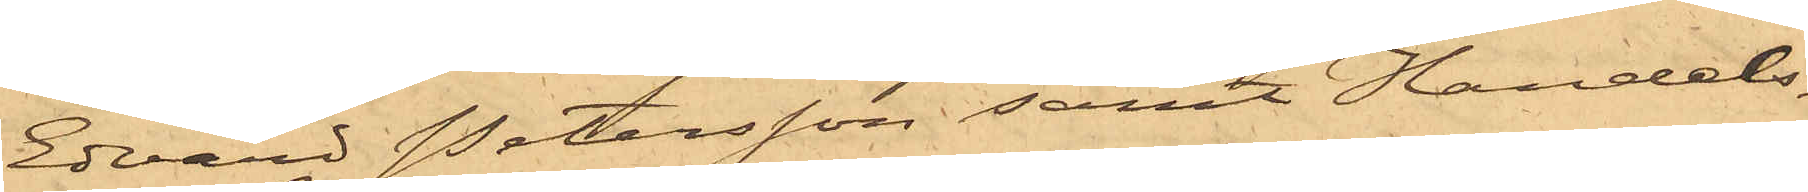Edvard Petersson samt Handels¬
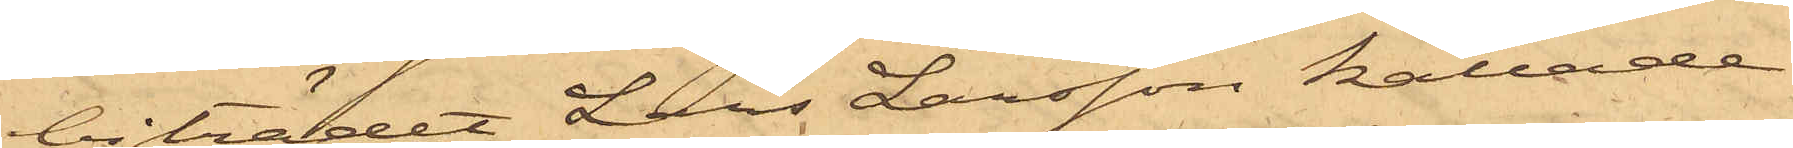biträdet Lars Larsson kallade
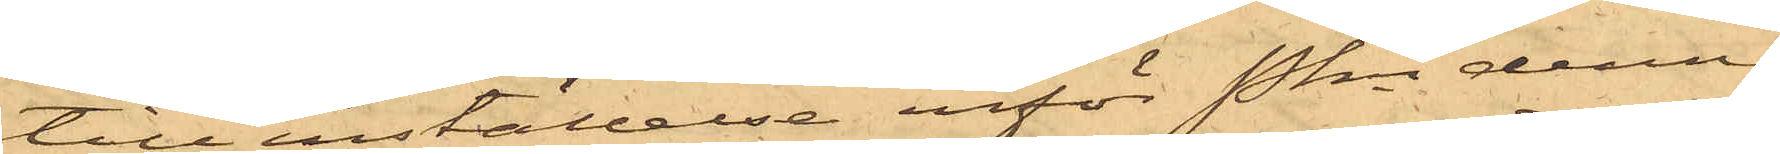till inställelse inför Pkn denna
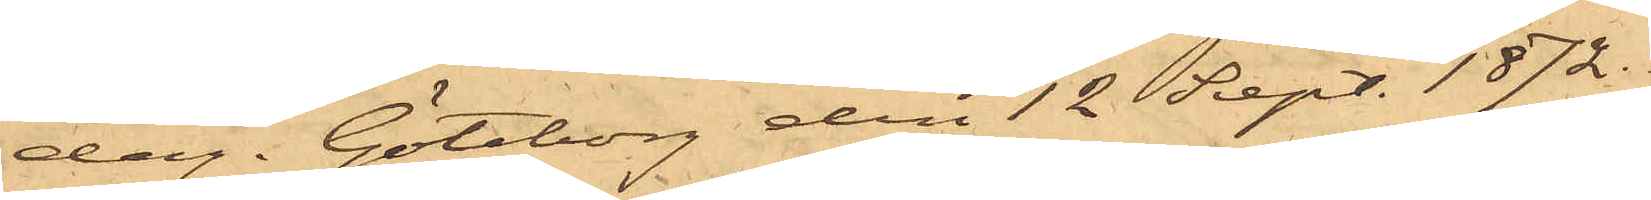dag. Göteborg den 12 Sept. 1872.
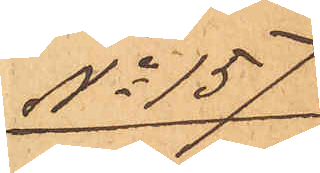No 157
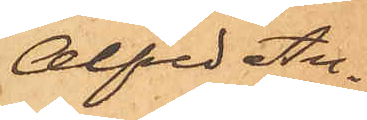Alfred An¬
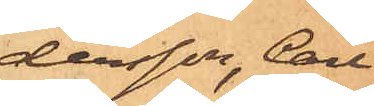dersson, Carl
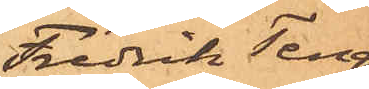Fredrik Terg¬
